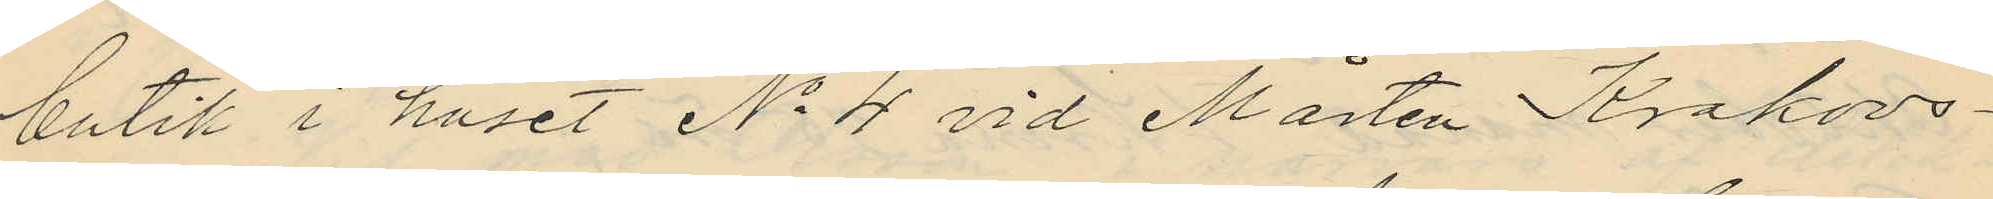butik i huset No 4 vid Mårten Krakovs¬
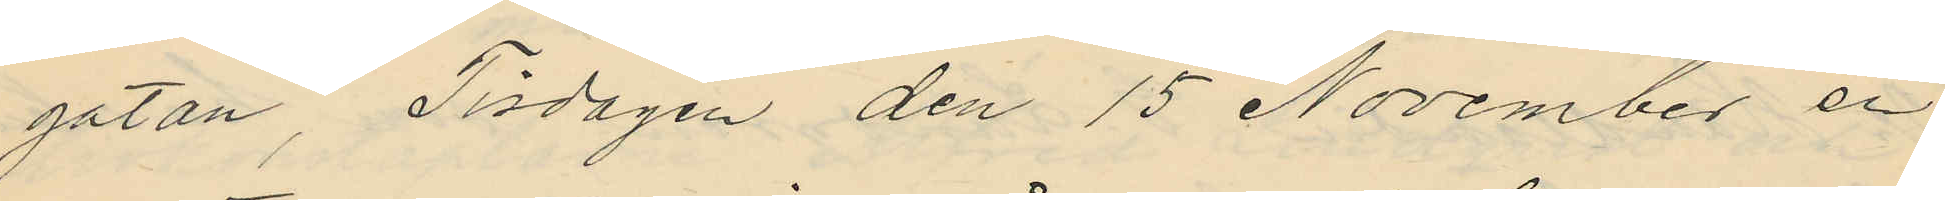gatan, Tisdagen den 15 November en
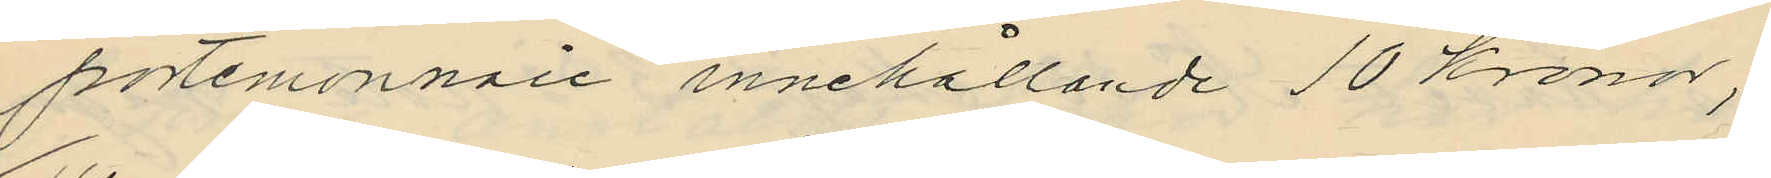portemonnaie innehållande 10 kronor;
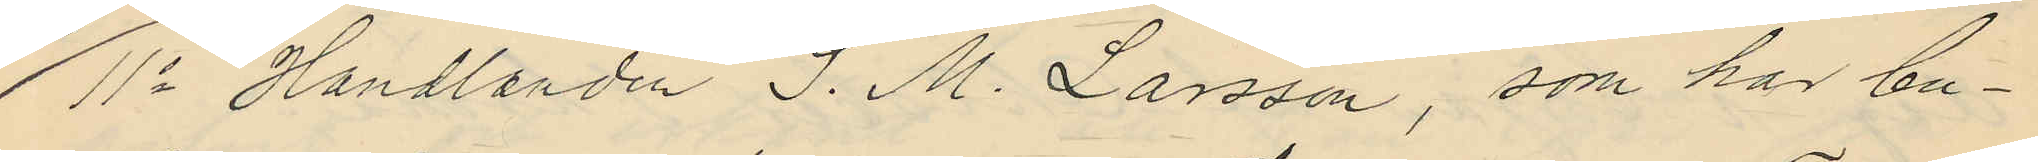11o Handlarden J. M. Larsson, som har bu¬
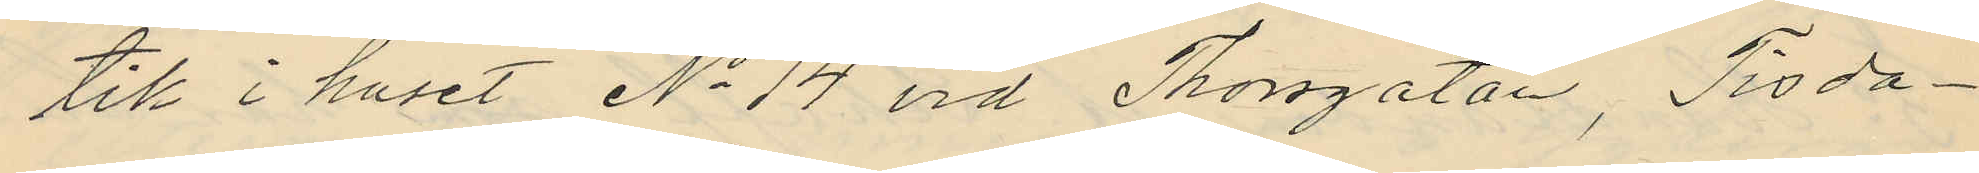tik i huset No 14 vid Thorsgatan, Tisda¬
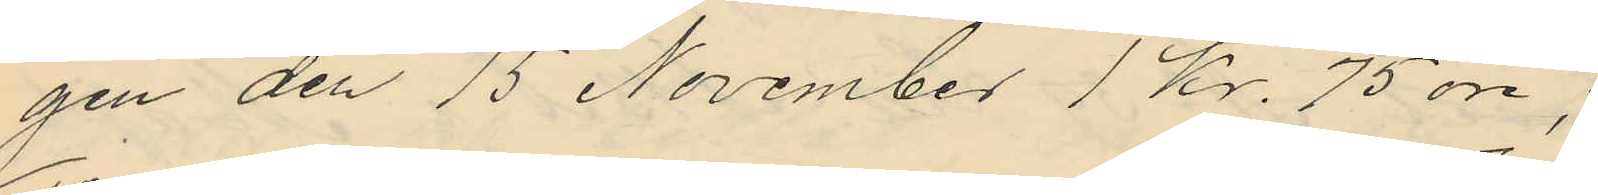gen den 15 November 1 kr. 75 öre;
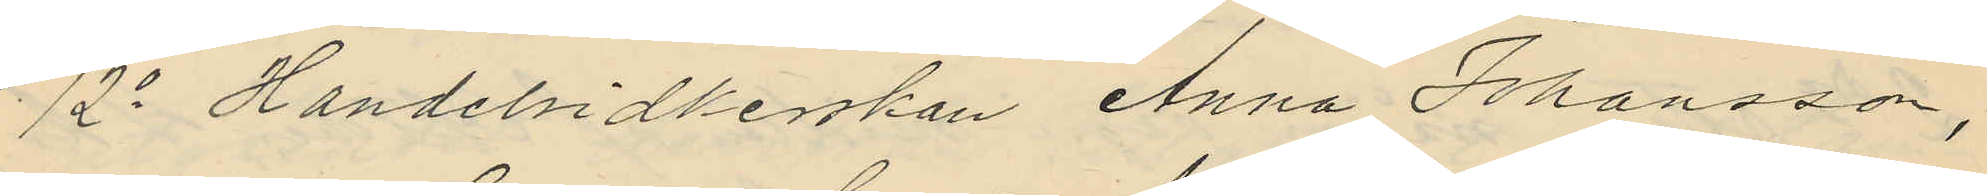12o Handelsidkerskan Anna Johansson,
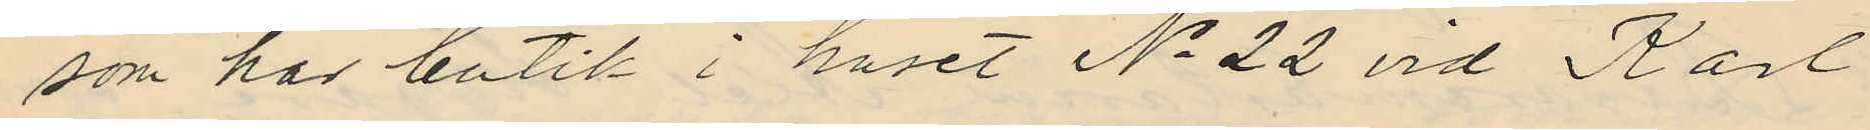som har butik i huset No 22 vid Karl
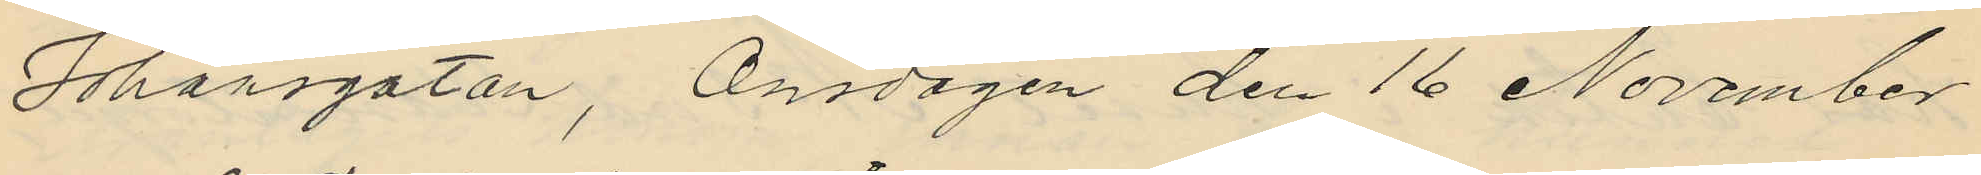Johansgatan, Onsdagen den 16 November
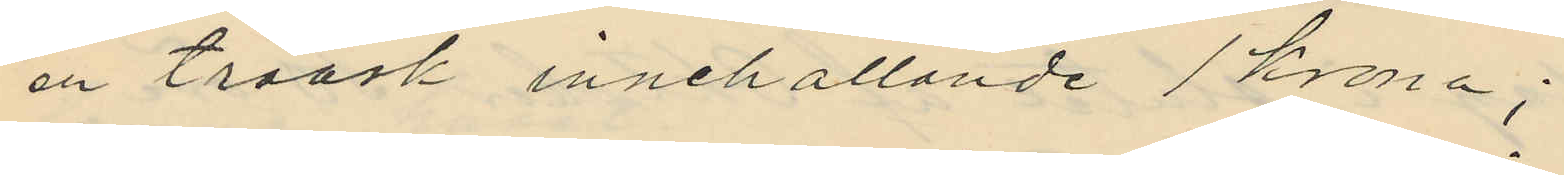en träask innehållande 1 krona;
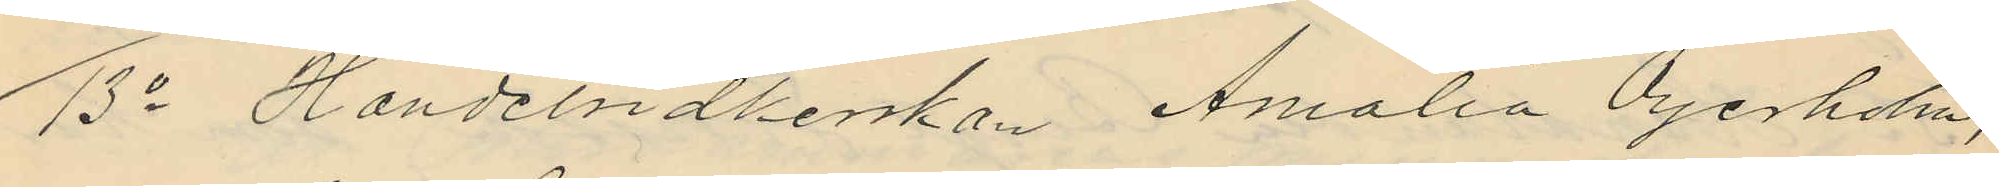13o Handelsidkerskan Amalia Öyerholm,
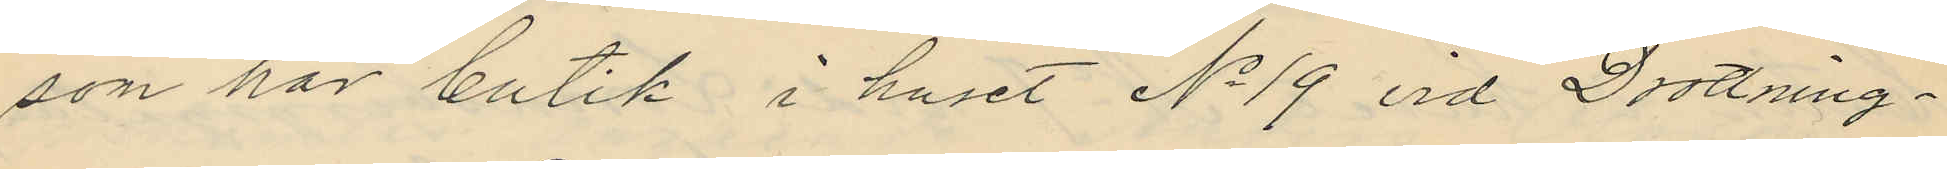son har butik i huset No 19 vid Drottning¬
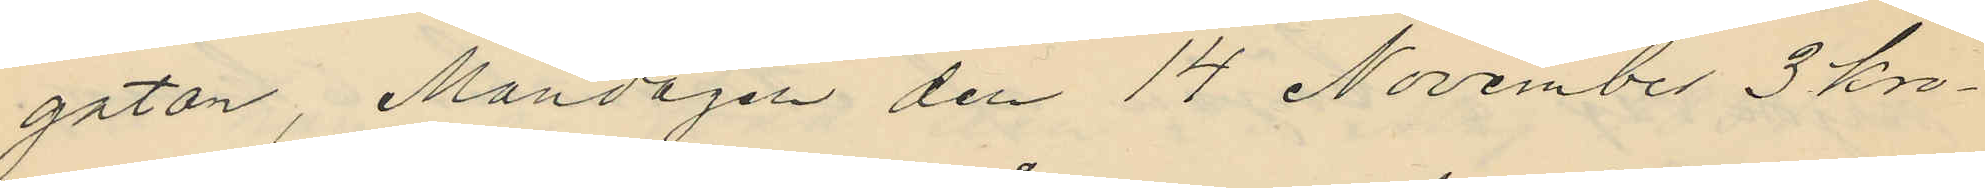gatan, Måndagen den 14 November 3 kro¬
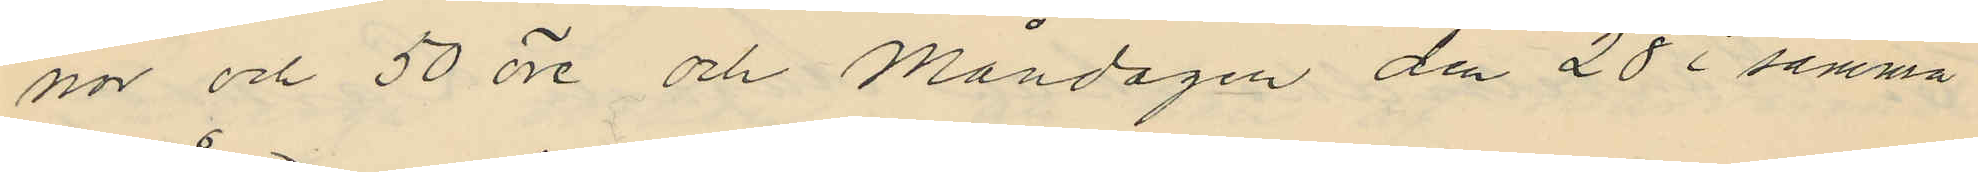nor och 50 öre och Måndagen den 28 i samma
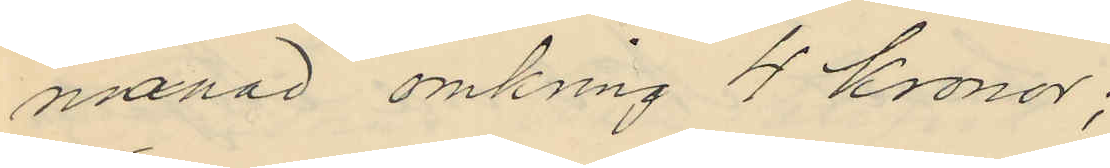månad omkring 4 Kronor;
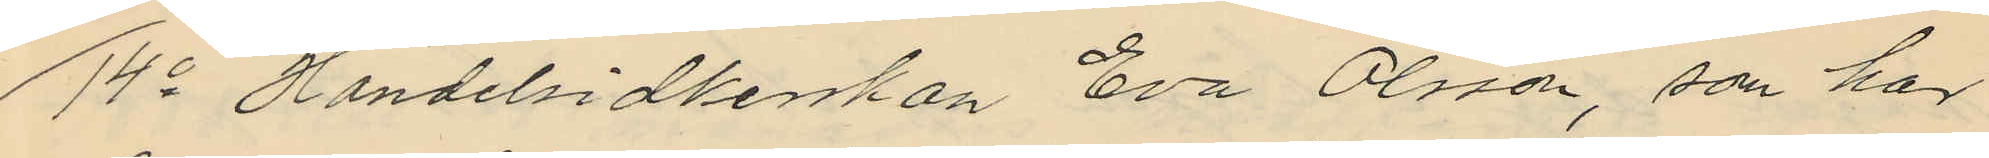14o Handelsidkerskan Eva Olsson, som har
